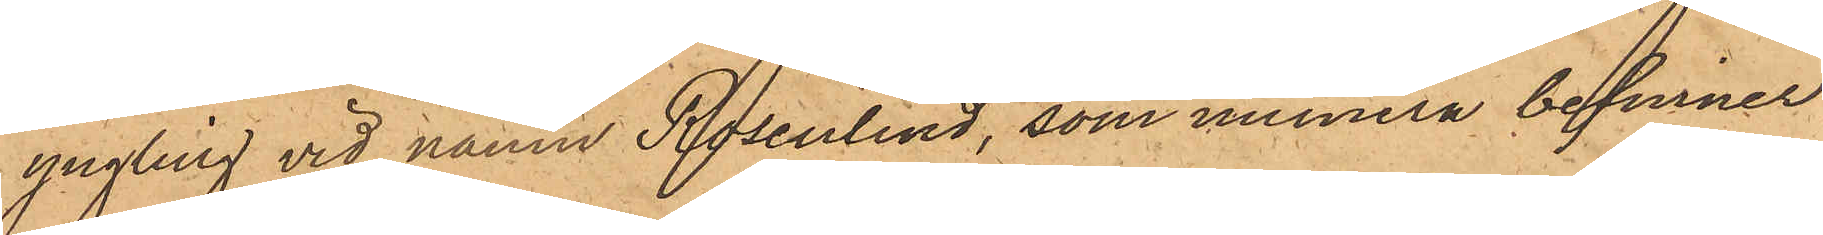yngling vid namn Rosenlind, som numera befinner
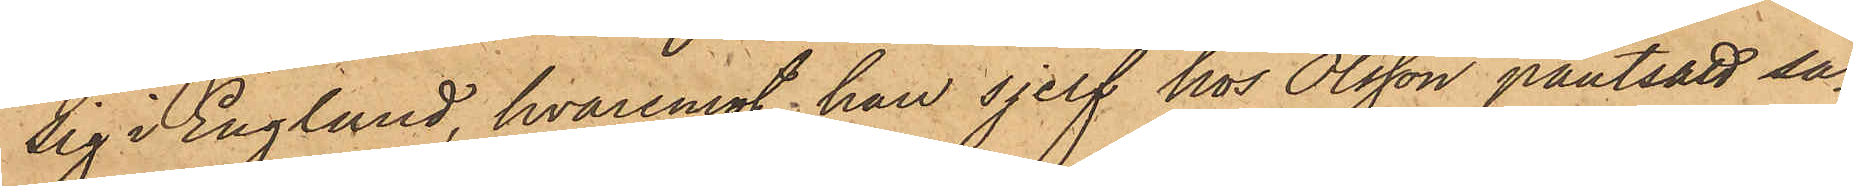sig i England, hvaremot han sjelf hos Olsson pantsatt sa¬
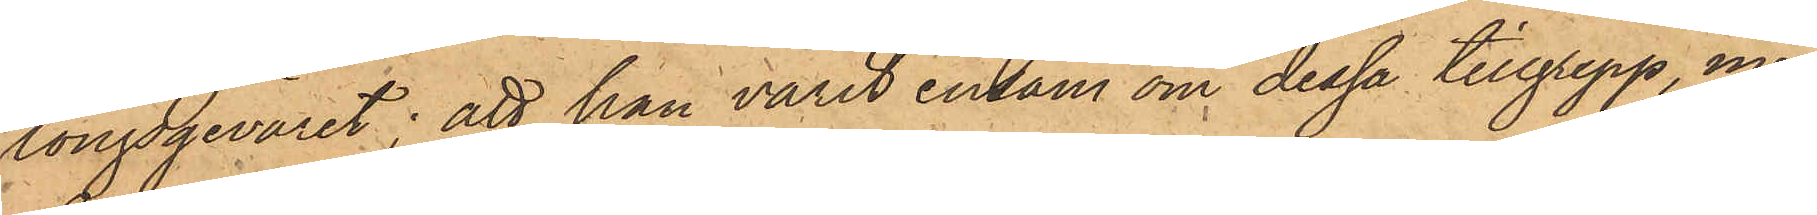longsgeväret; att han varit ensam om dessa tillgrepp, men
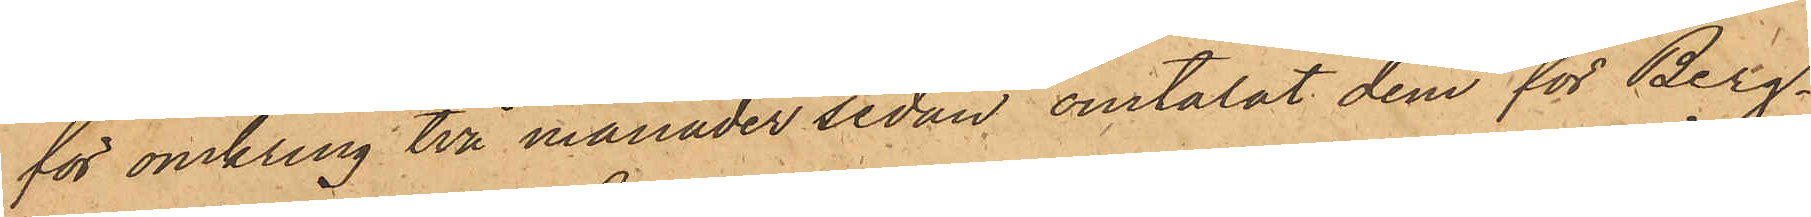för omkring två månader sedan omtalat dem för Berg¬
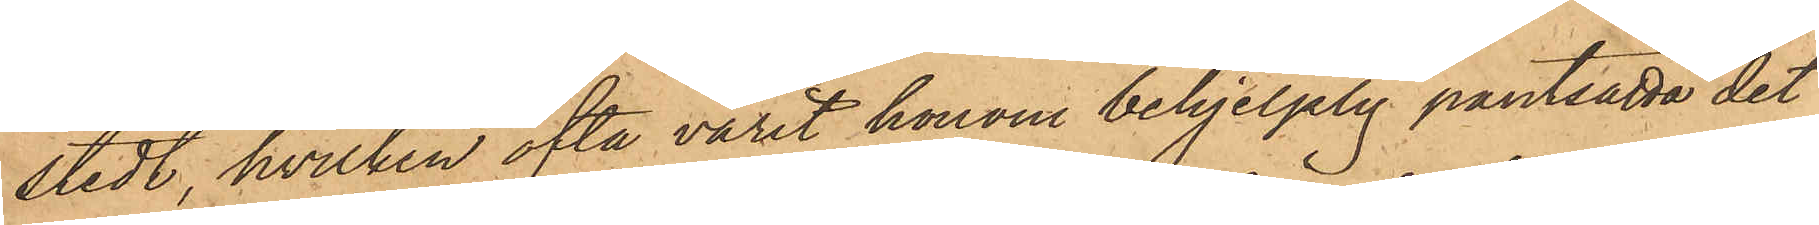stedt, hvilken ofta varit honom behjelplig pantsätta det
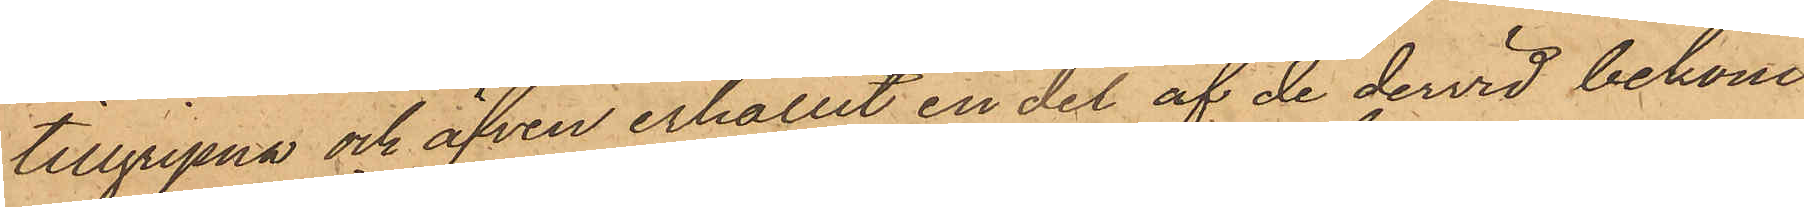tillgripna och äfven erhållit en del af de dervid bekom¬
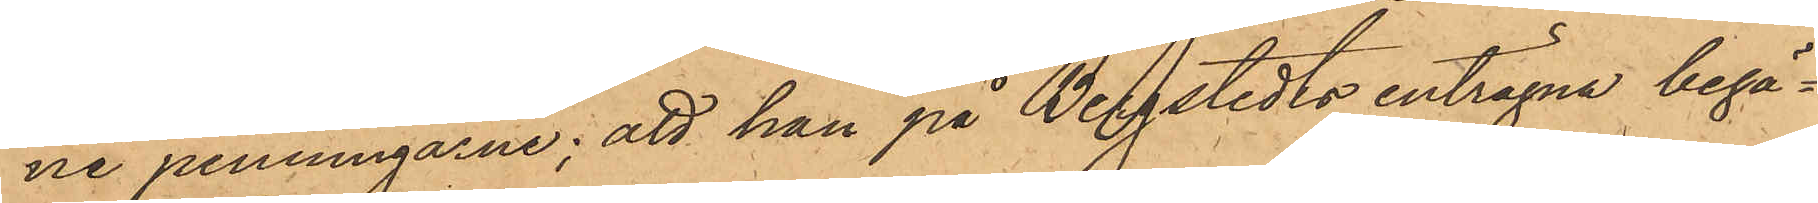ne penningarne; att han på Bergstedts enträgna begä¬
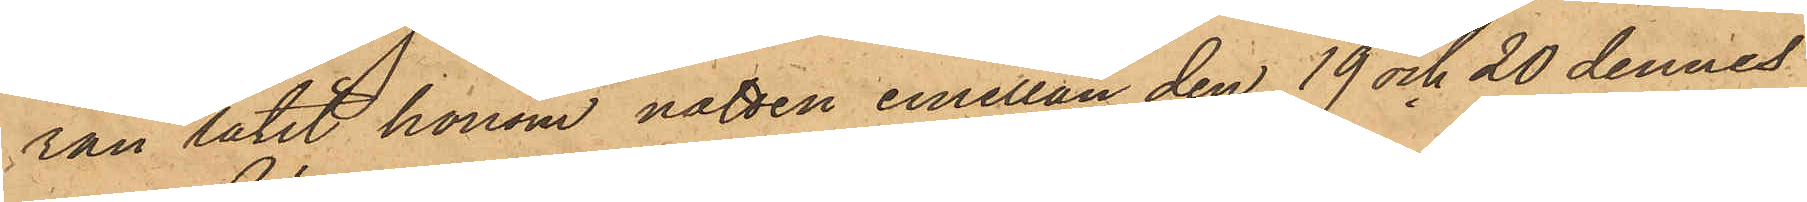ran låtit honom natten emellan den 19 och 20 dennes
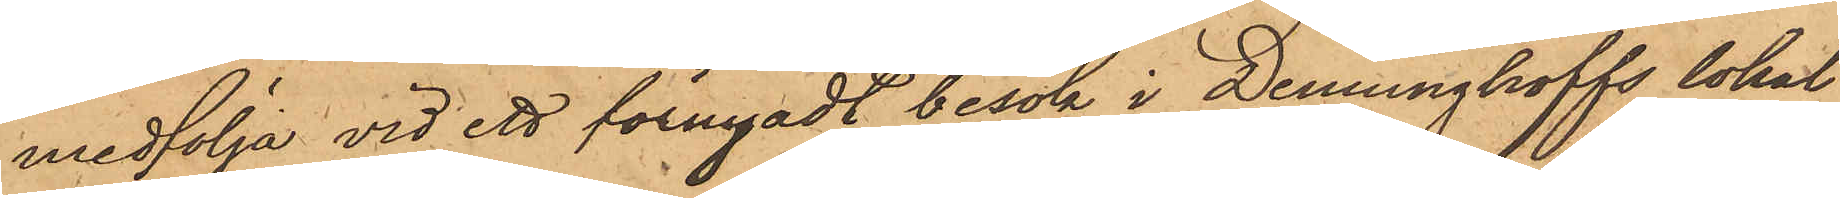medfölja vid ett förnyadt besök i Denninghoffs lokal,
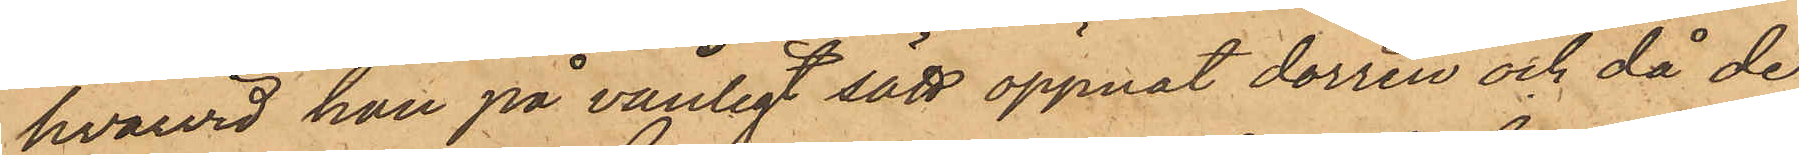hvarvid han på vanligt sätt öppnat dörren och då de
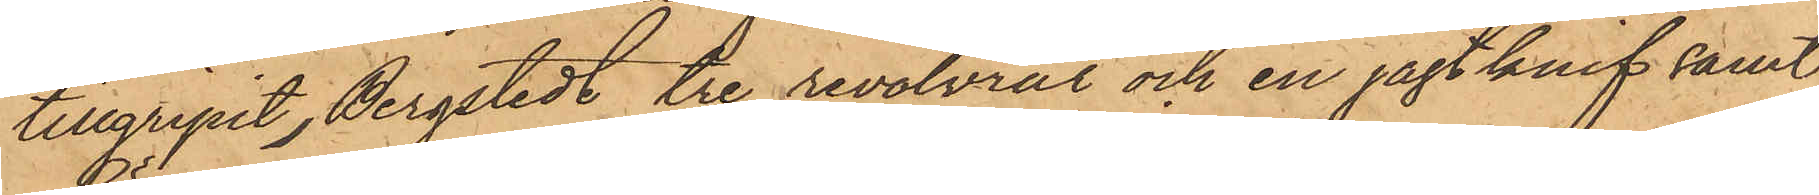tillgripit, Bergstedt tre revolvrat och en jagt knif samt
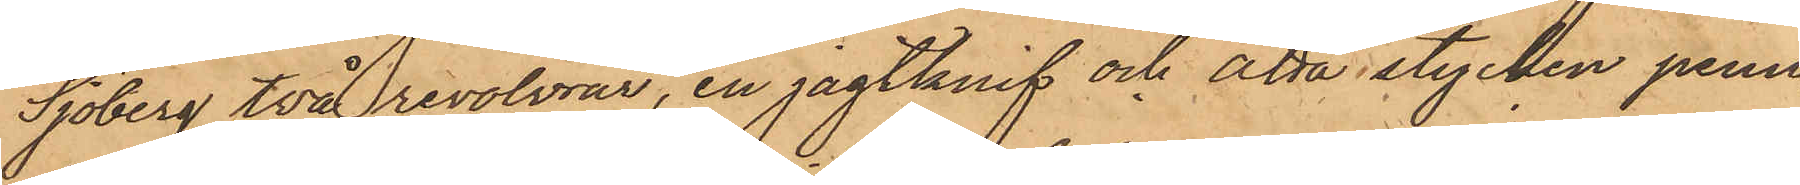Sjöberg två revolvrar, en jagtknif och åtta stycken penn¬
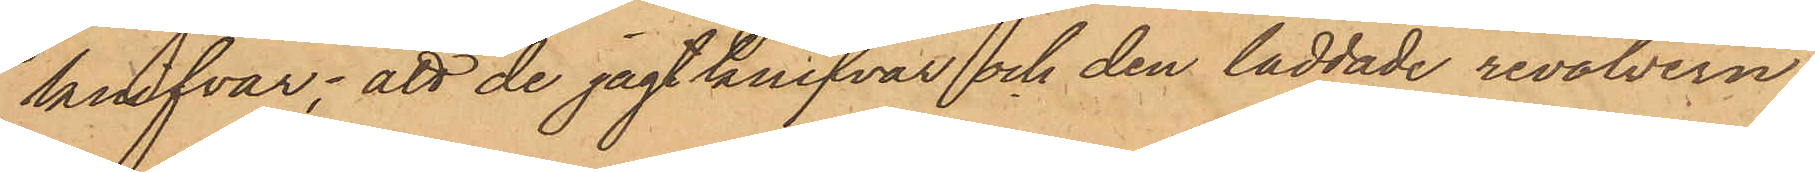krifvar; att de jagt knifvar och den laddade revolvern,
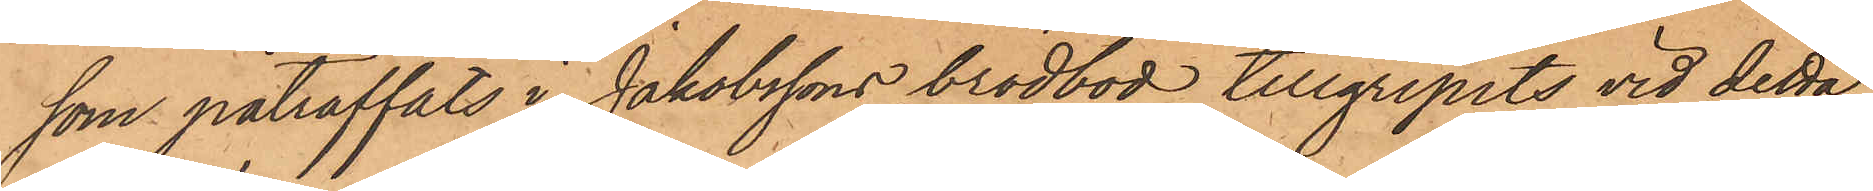som påträffats i Jakobssons brödbod tillgripits vid detta
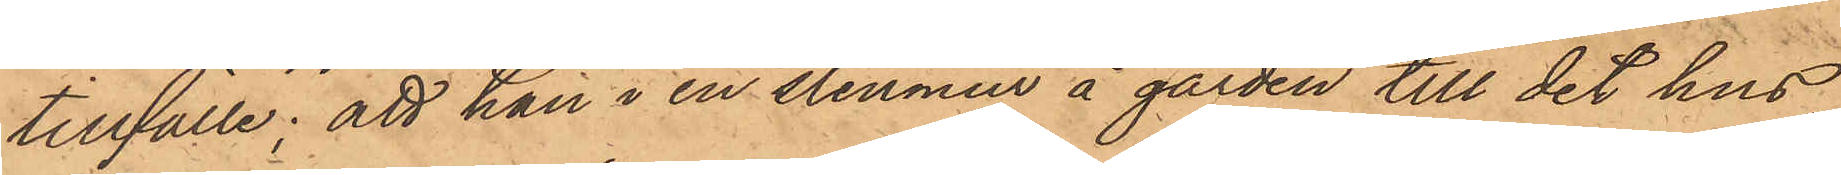tillfälle; att han i en stenmur å gården till det hus,
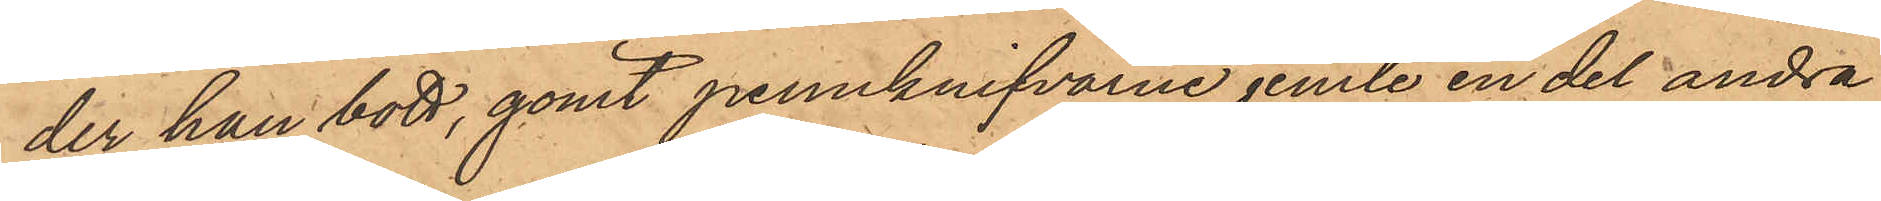der han bott, gömt pennknifvarne jemte en del andra
